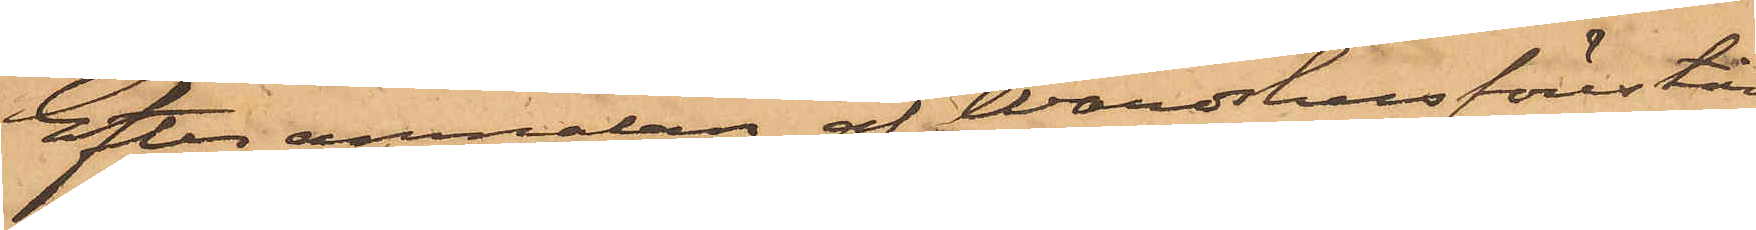Efter anmälan af Wärdshusförestån¬
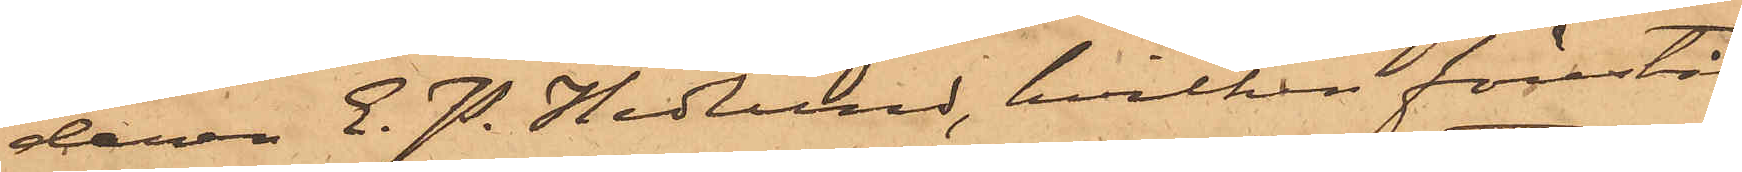daren E. P. Hedlund, hvilken förestår
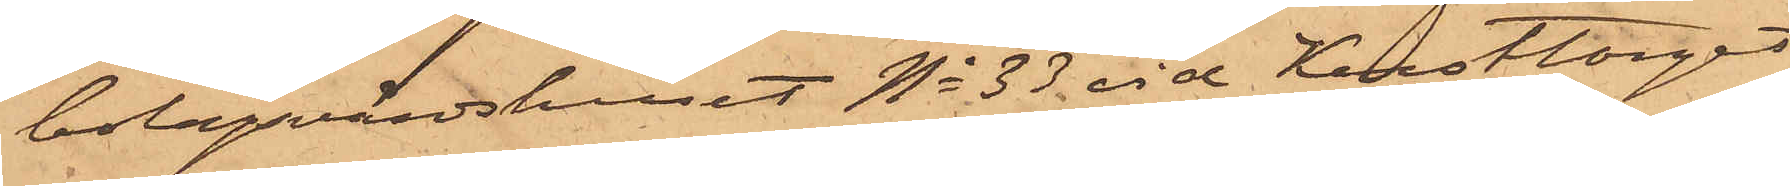bolagsvärdshuset No 33 vid Kusttorget,
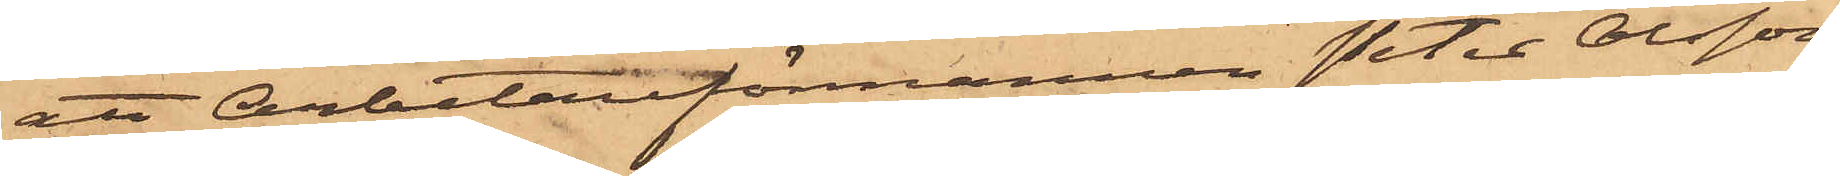att Arbetareförmannen Peter Olsson,
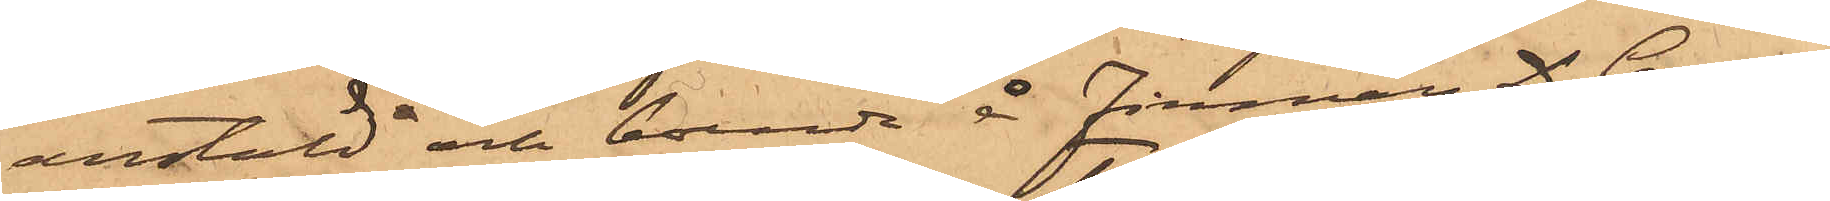anstäld och boende å firman D. Carne¬
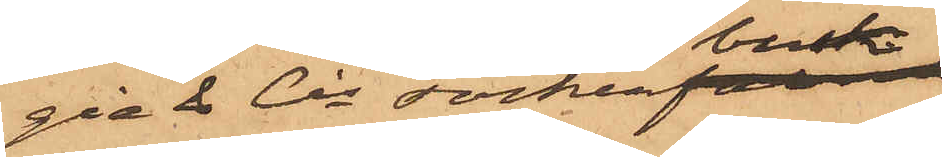gie & Cos sockerbruk
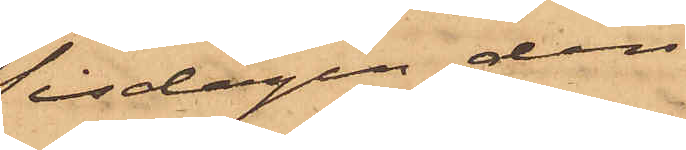Tisdagen den
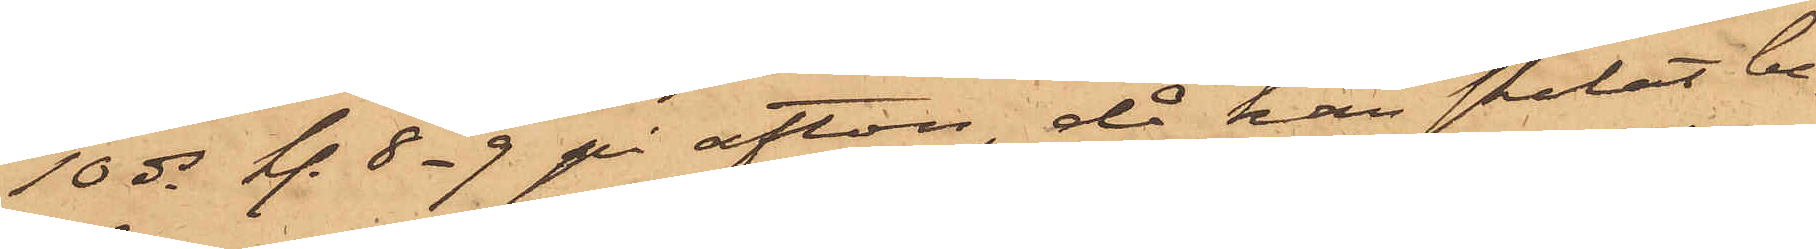10 ds kl. 8-9 på afton, då han skolat be¬
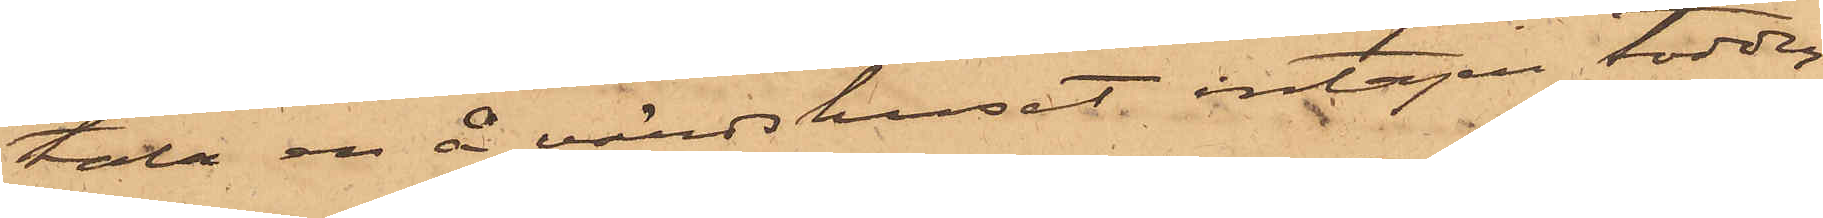tala en å värdshuset intagen toddy
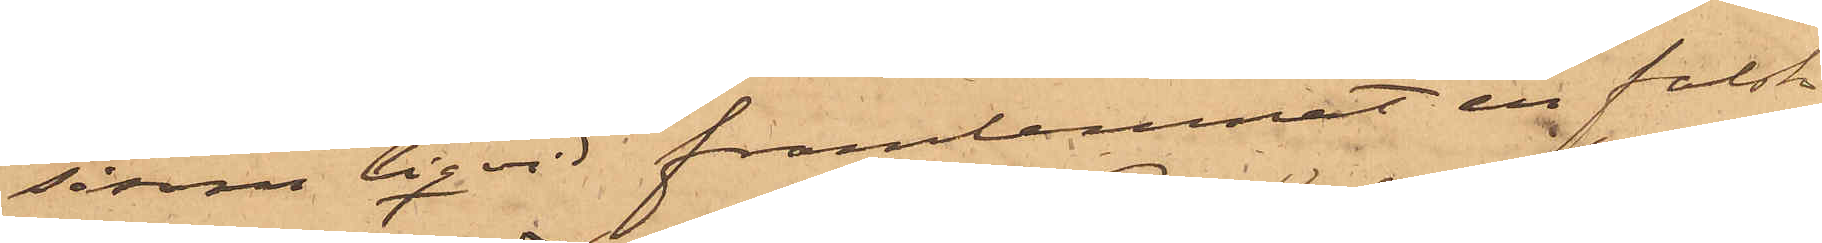såsom liqvid framlemnat en falsk
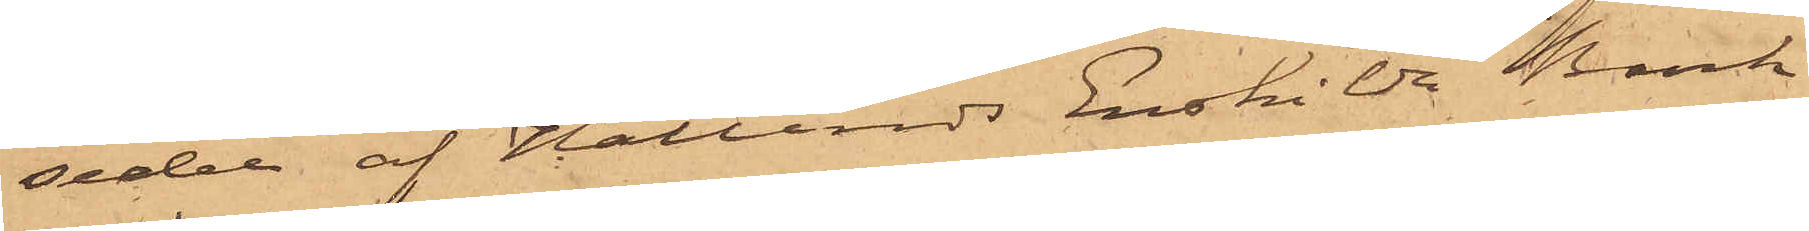sedel af Hallands Enskilda Bank
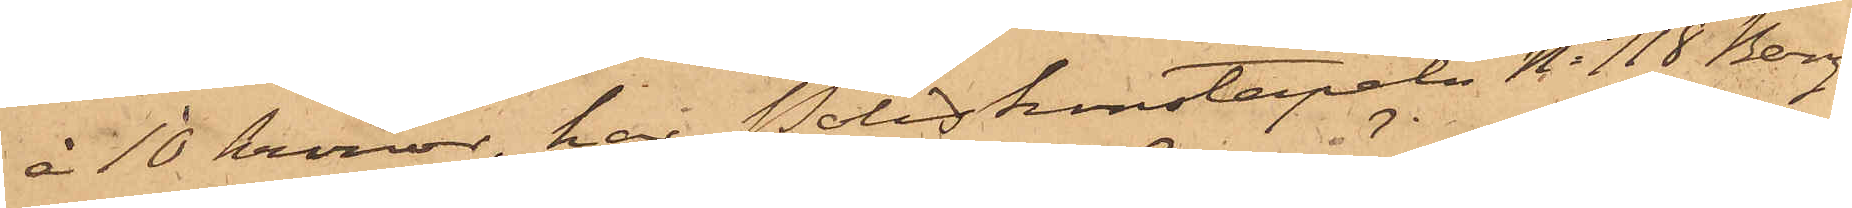å 10 kronor, har Poliskonstapeln No 118 Berg
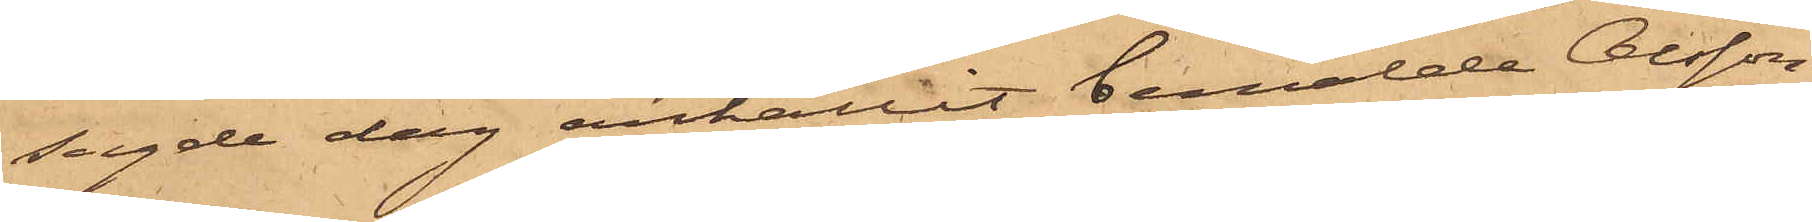sagde dag anhållit bemälde Olsson,
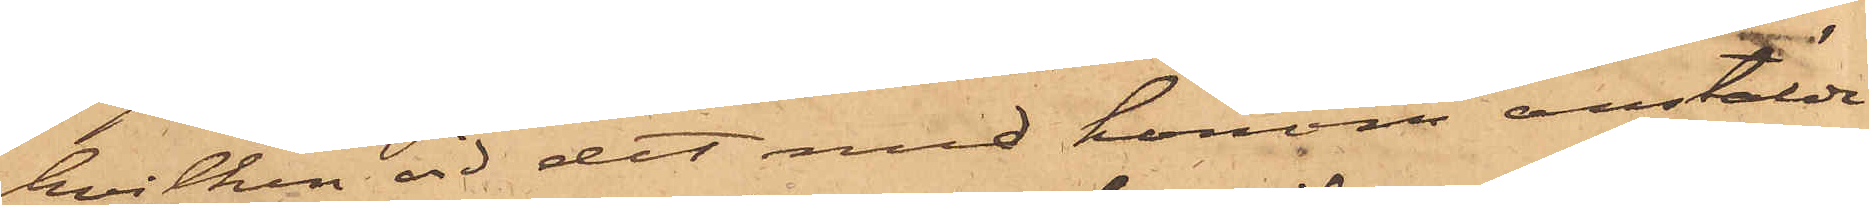hvilken vid det med honom anstälde
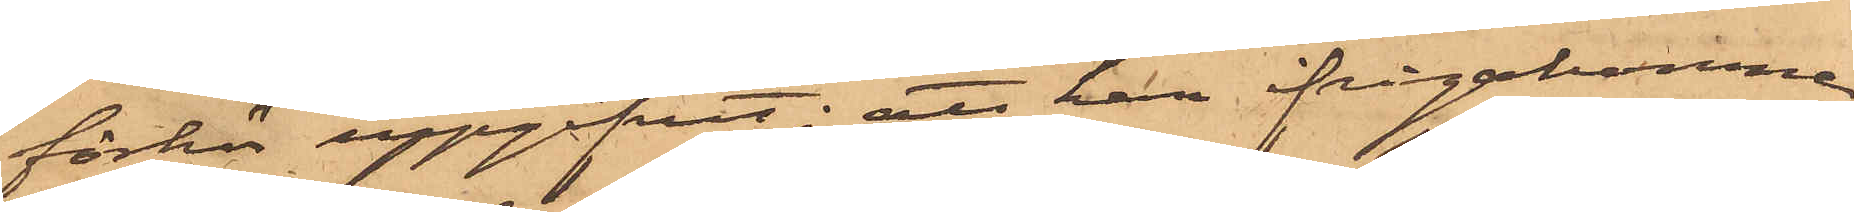förhör uppgifvit; att han ifrågakomne
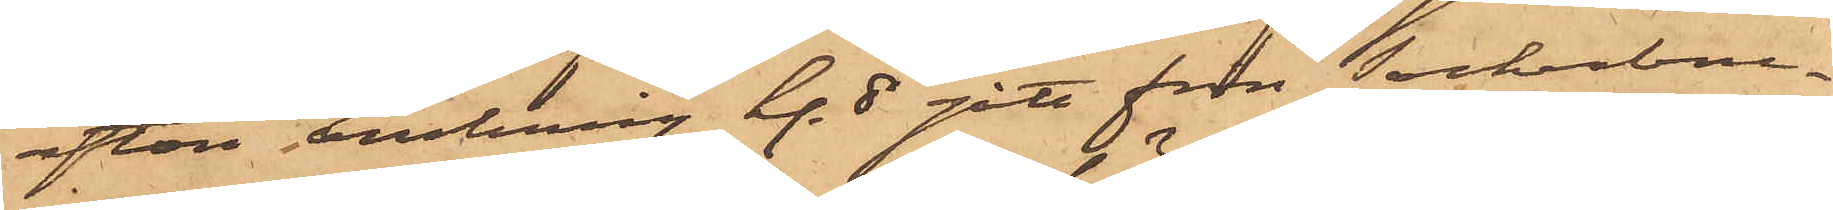afton omkring kl. 8 gått från sockerbru¬
